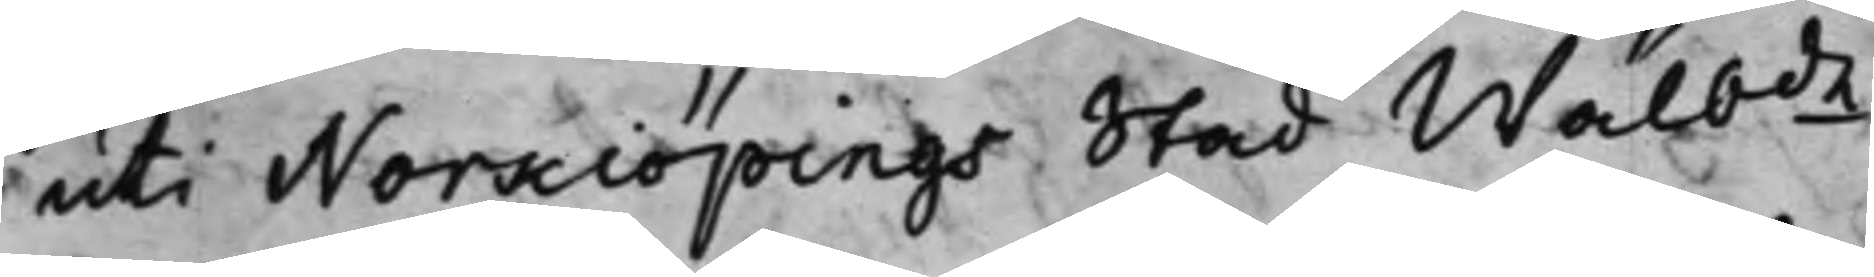uti Norkiöpings Stad Wälbde
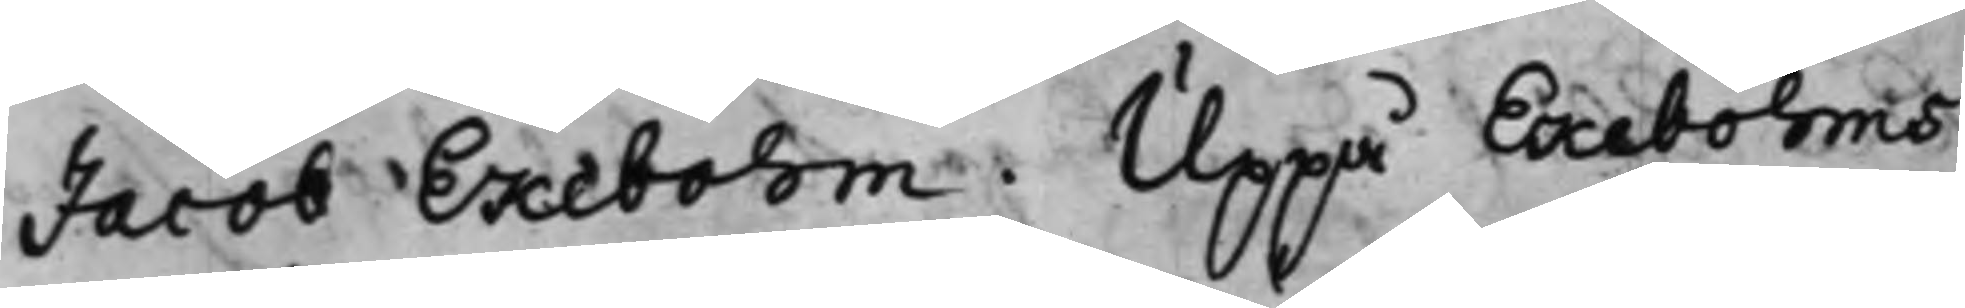Jacob Ekebohm. Uppå Ekebohms
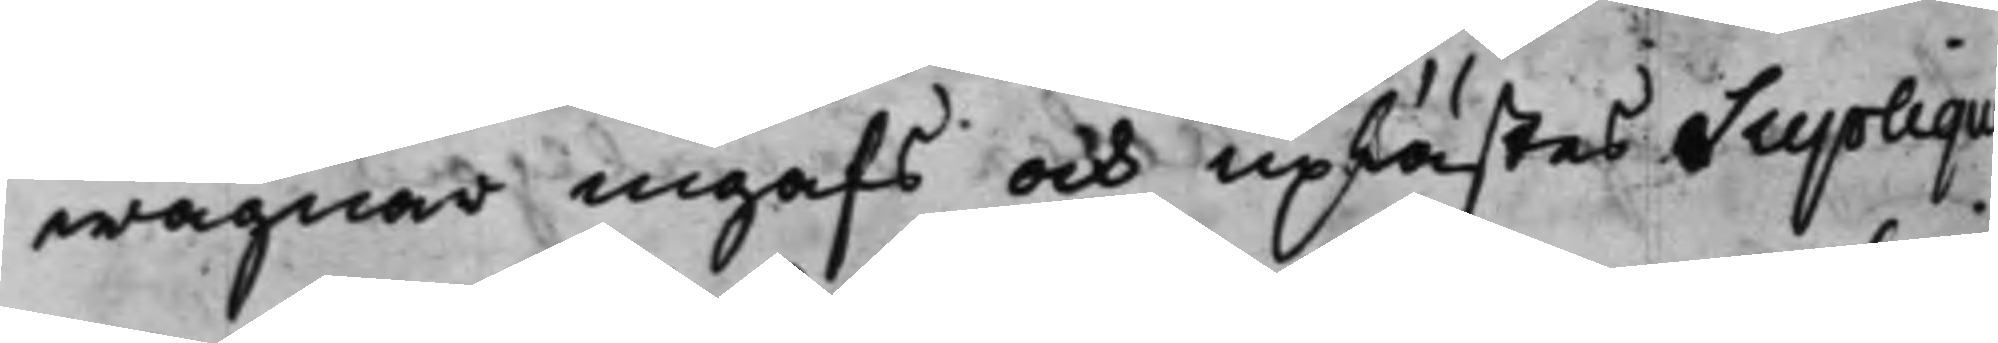wägnar ingafs och uplästes Suplique
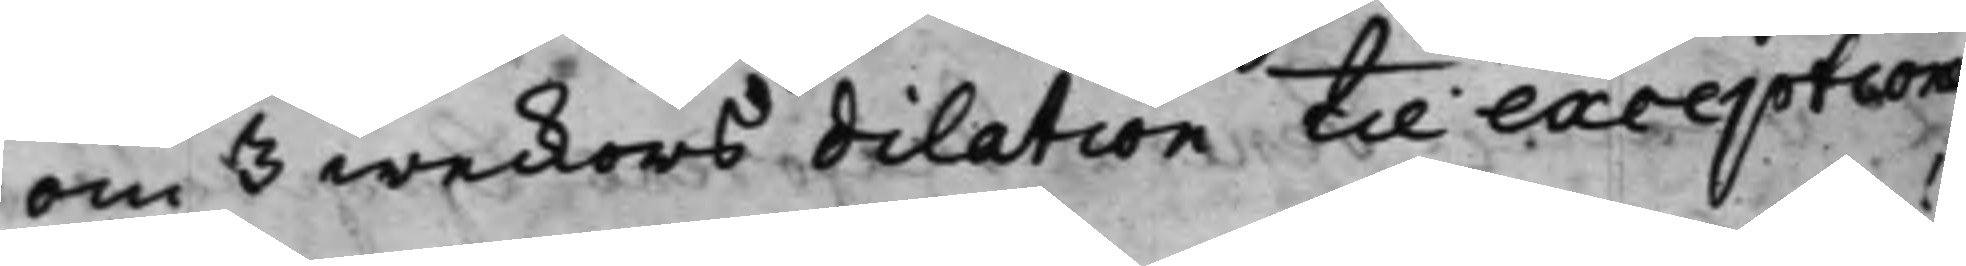om 3 weckors dilation till exception
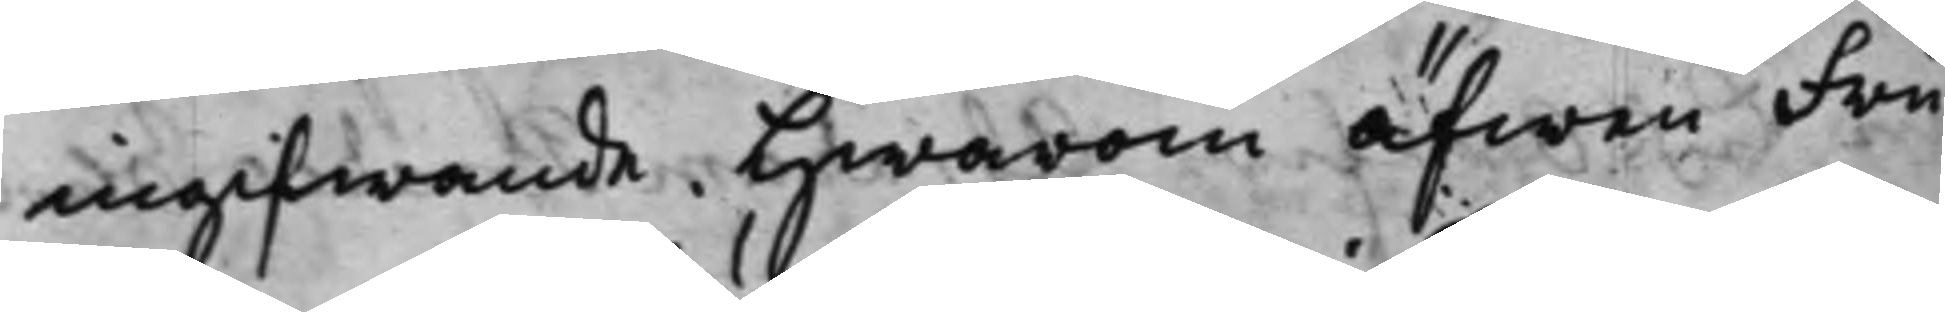ingifwande, Hwarom äfwen Fru
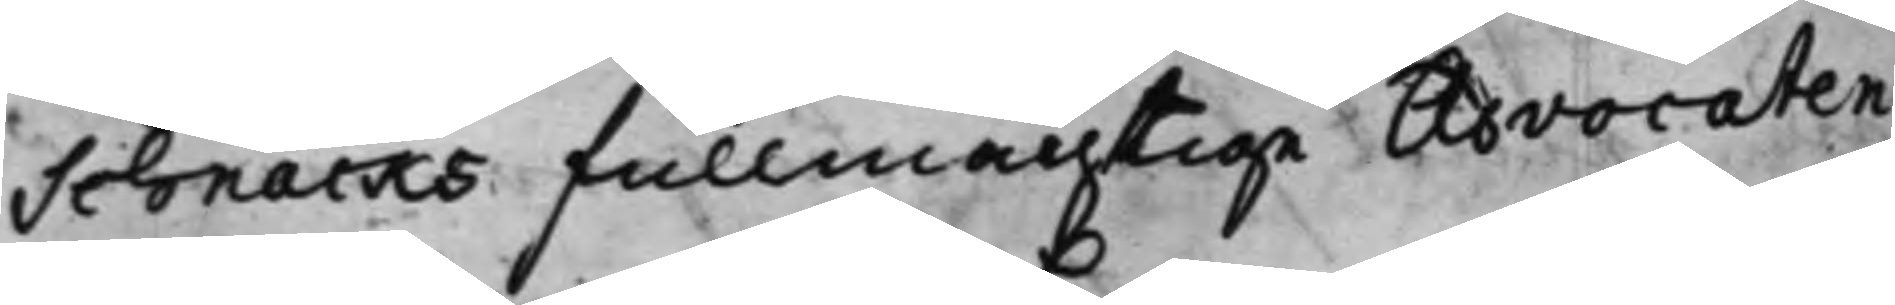Schnacks Fullmächtige Advocaten
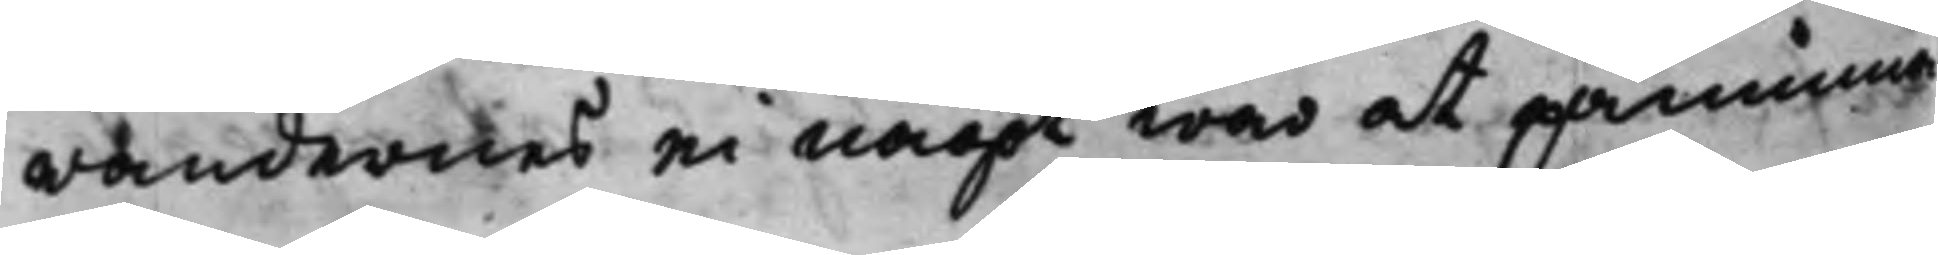randernes ei något war at påminna
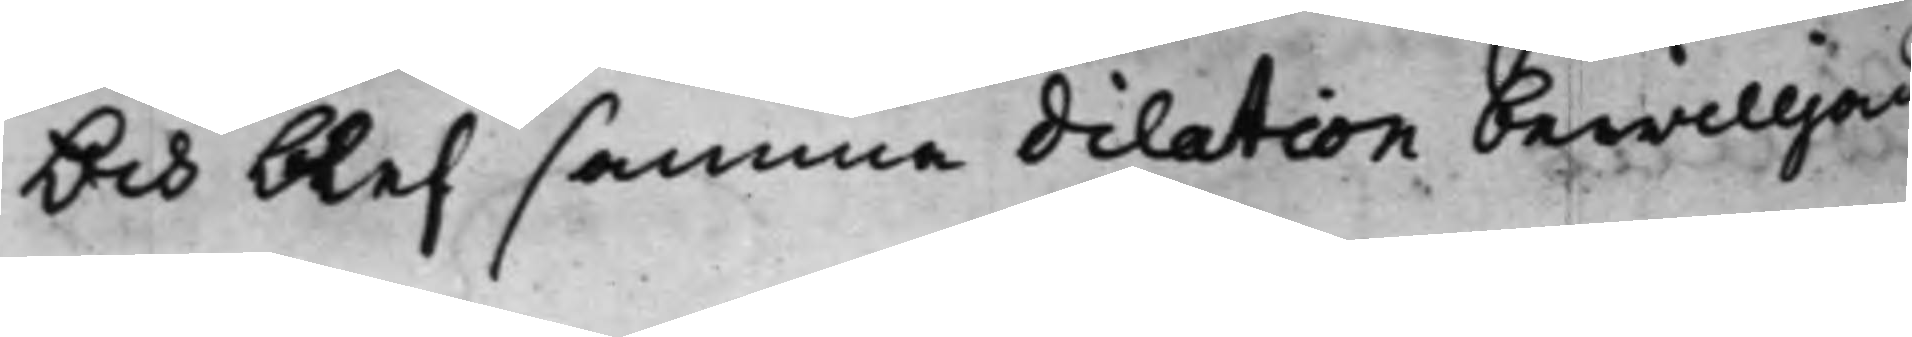Och blef samma dilation bewilljad
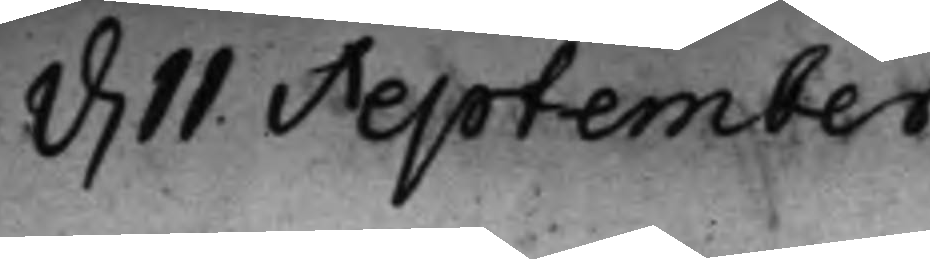d. 11 September
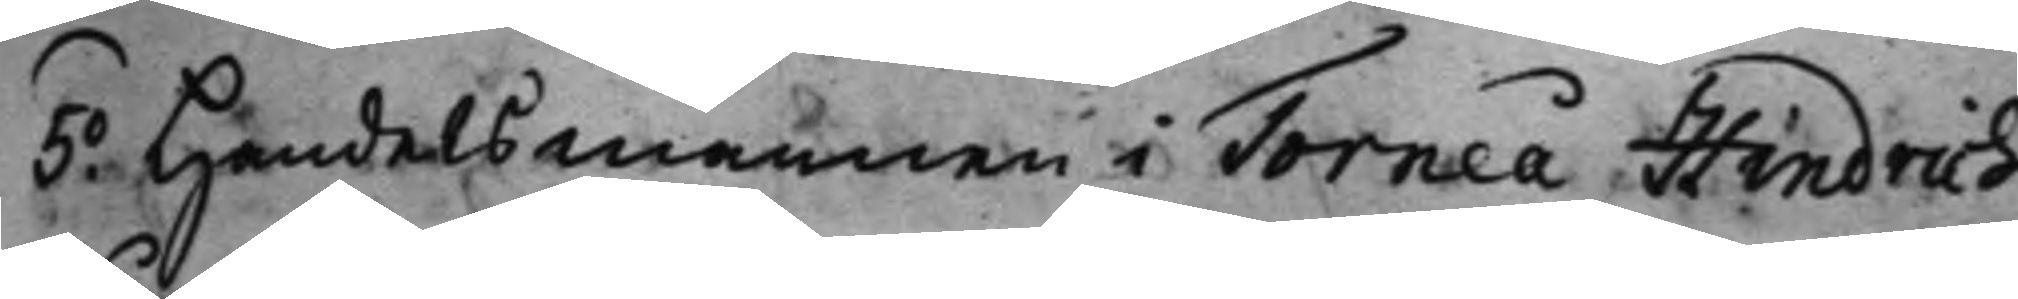5.o Handelsmannen i Torneå Hindrich
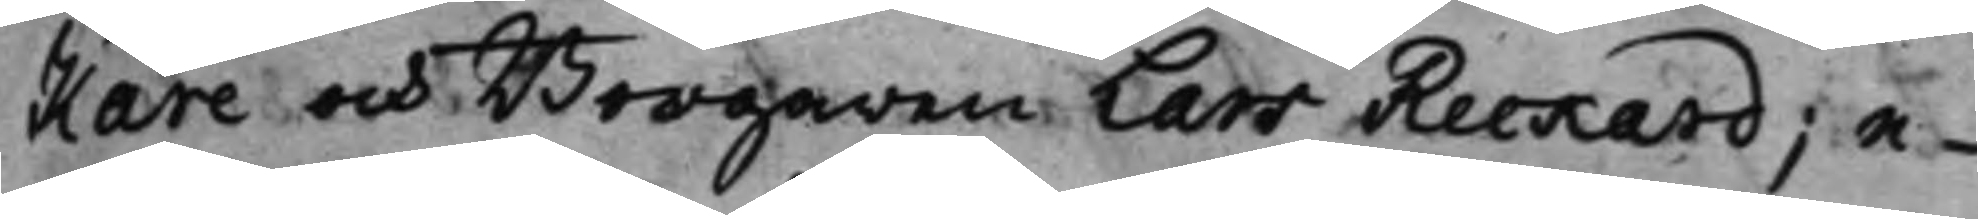Kåre och Borgaren Lars Reekard; e¬
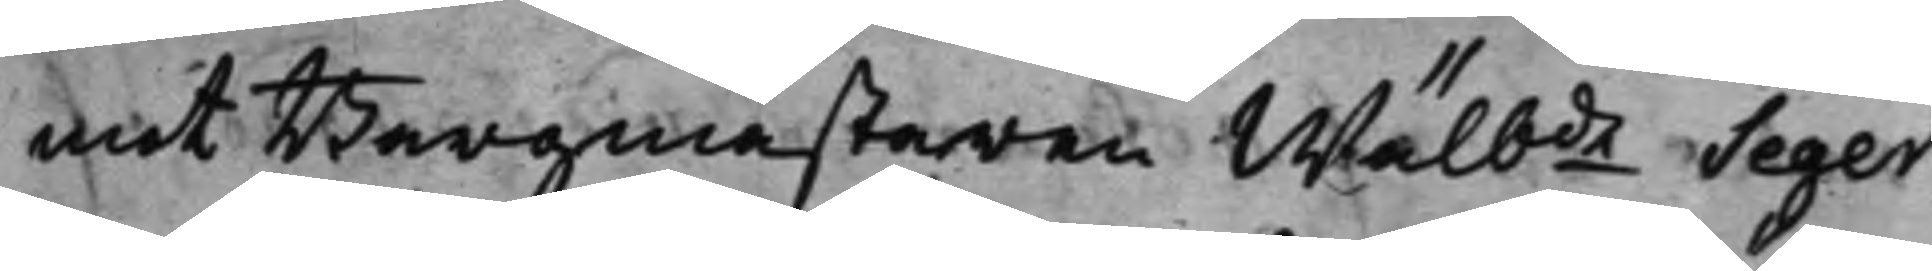mot Borgmästaren Wälbde Seger
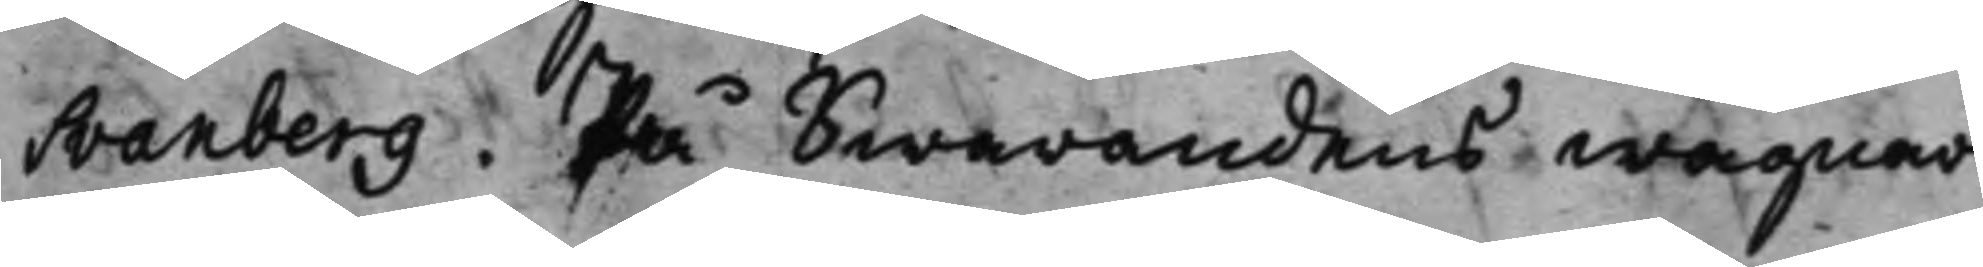Svanberg. På Swarandens wägnar
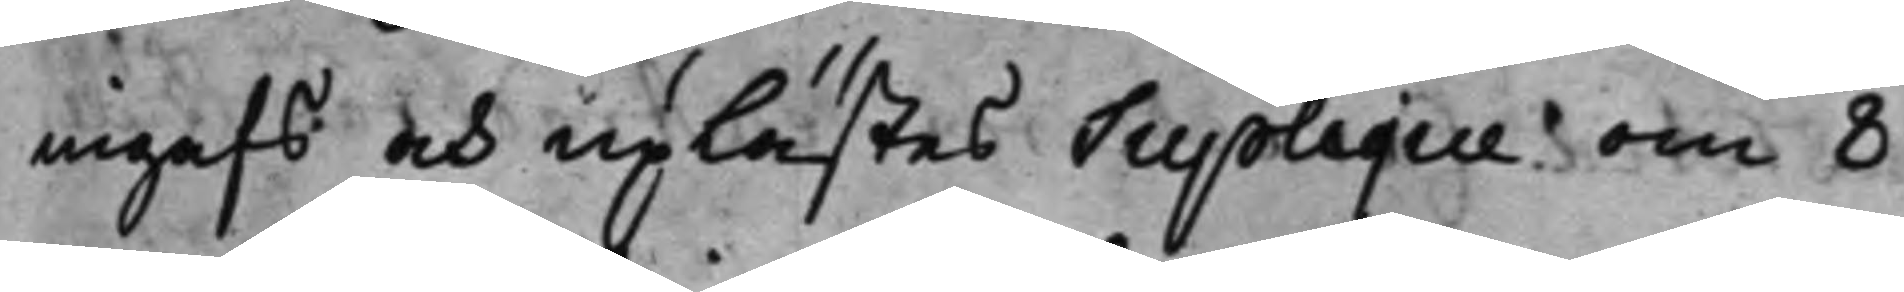ingafs och uplästes Suplique om 8
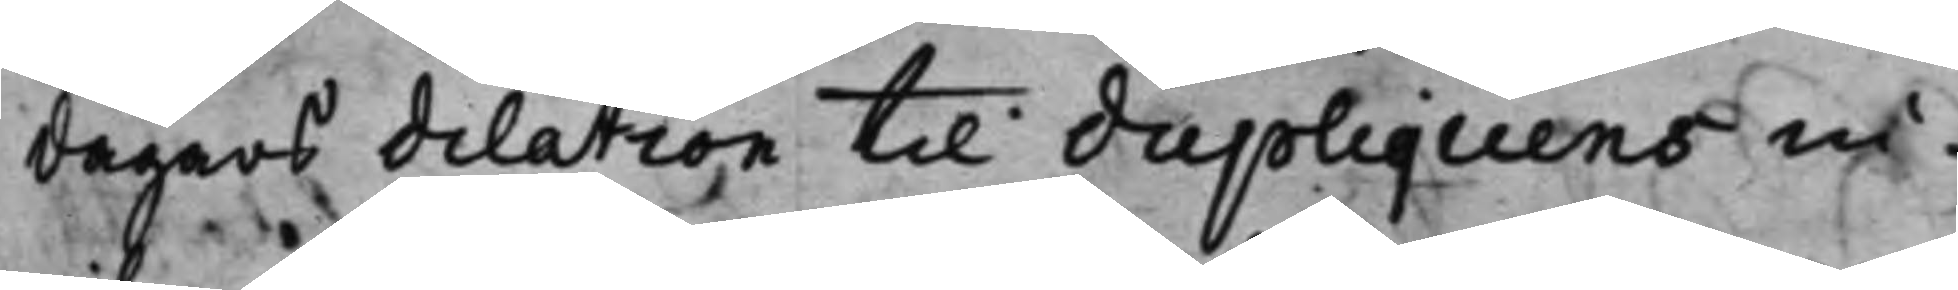dagars dilation til Supliquens in¬
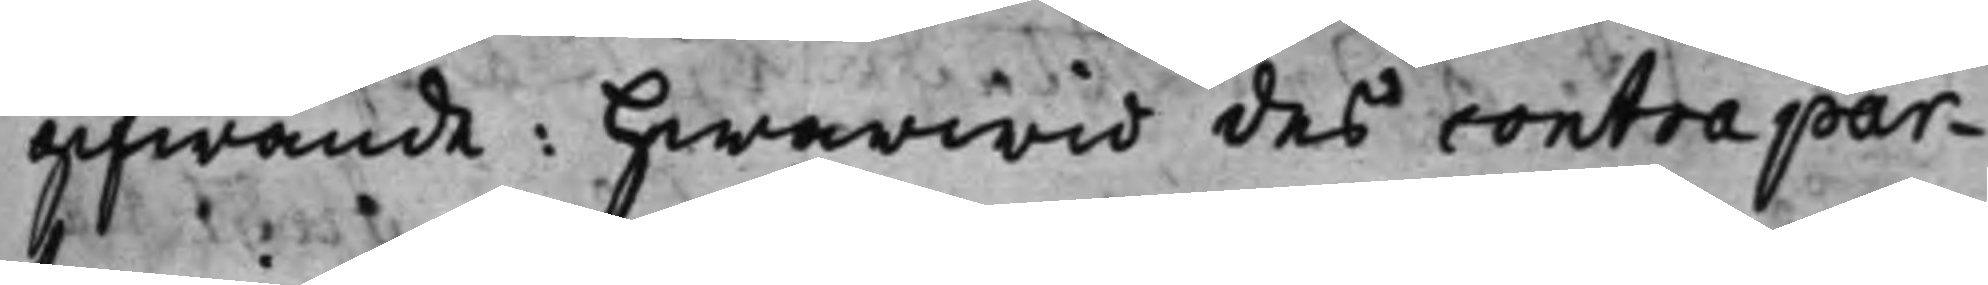gifwande: hwarwid des contrapar¬
